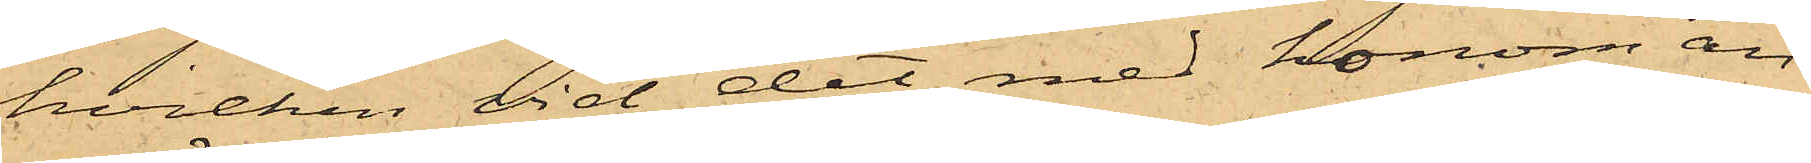hvilken vid det med honom an¬
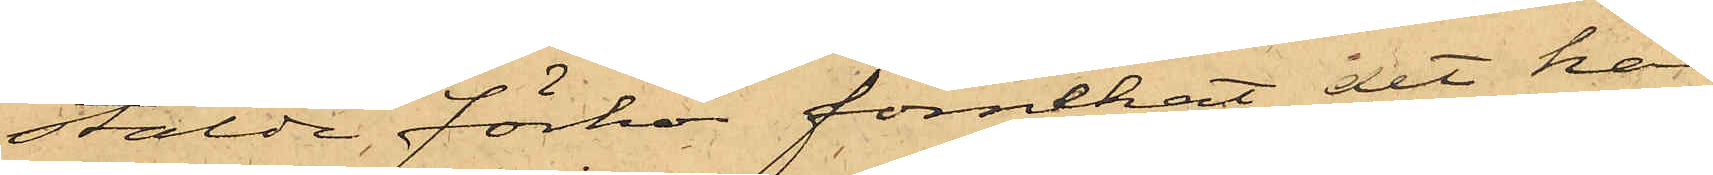stälde förhör förnekat det han
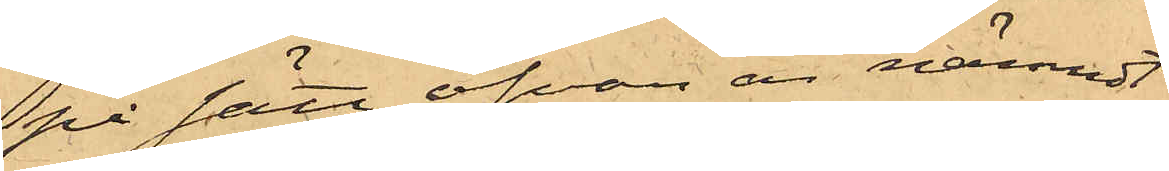på sätt ofvan är nämndt
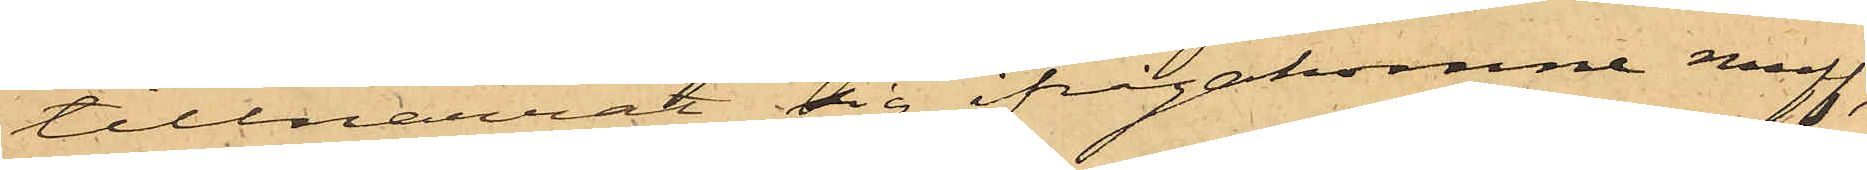tillnarrat sig ifrågakomne muff,
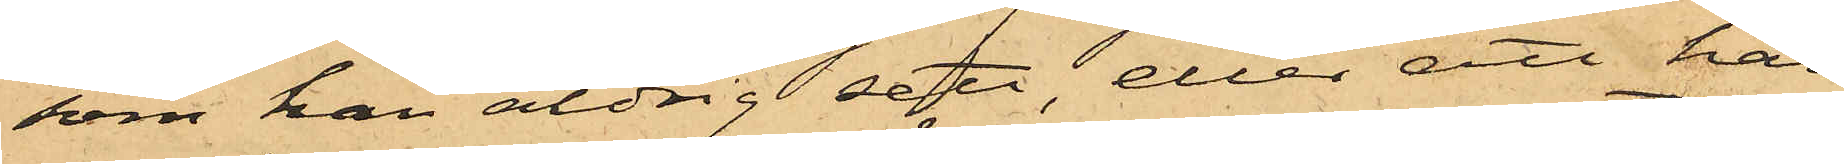som han aldrig sett, eller att han
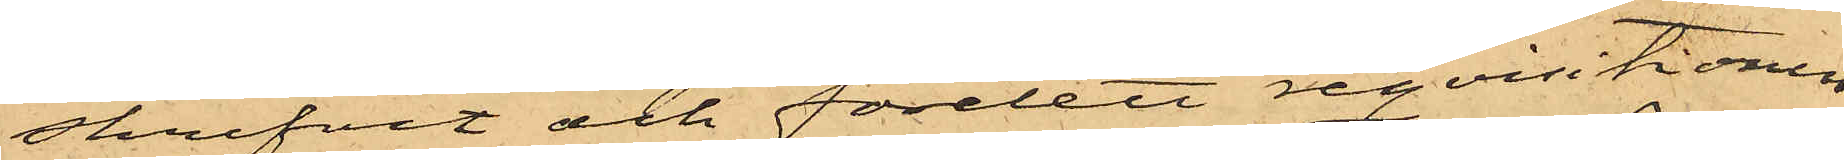skrifvit och företett reqvisitionen
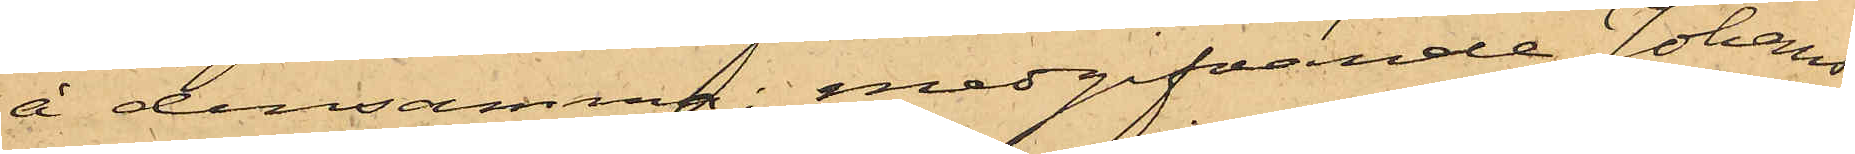å densamma; medgifvande Johans¬
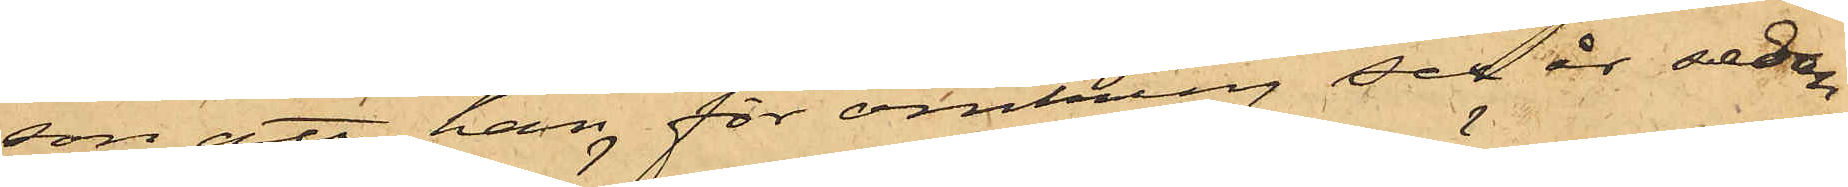son att han för omkring sex år sedan
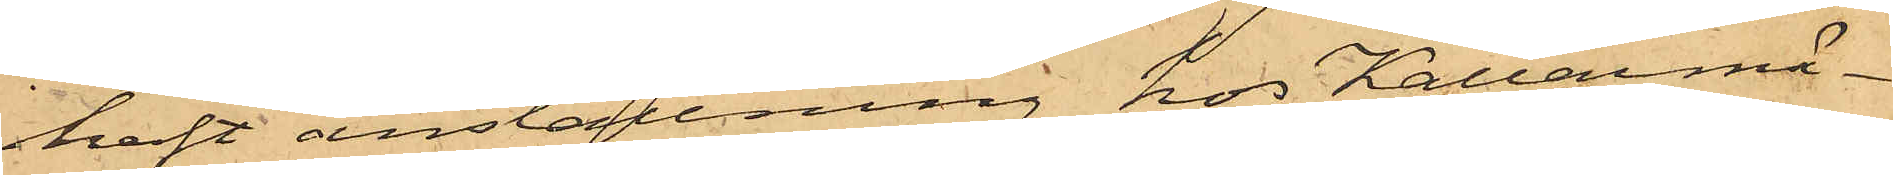haft anställning hos Källarmä¬
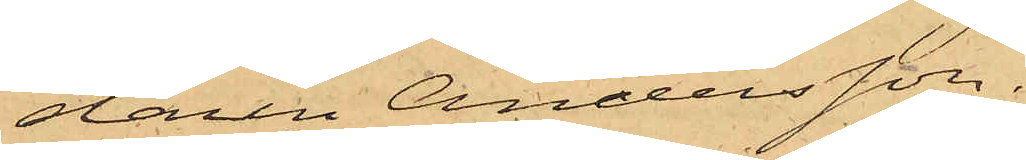staren Andersson.
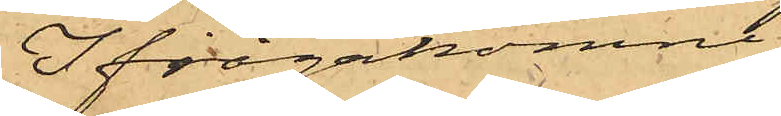Ifrågakomne
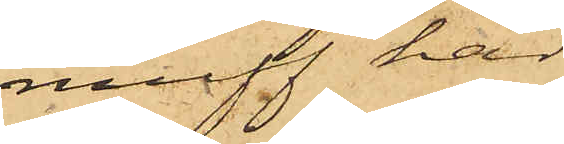muff har
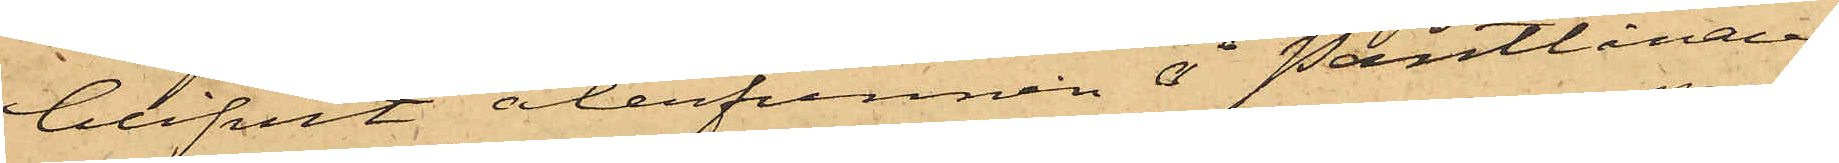blifvit återfunnen å Pantlånaren
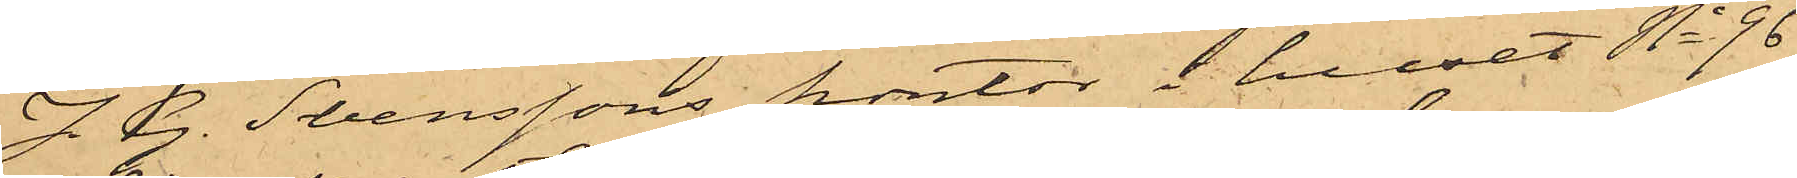J. G. Svenssons kontor i huset No 96
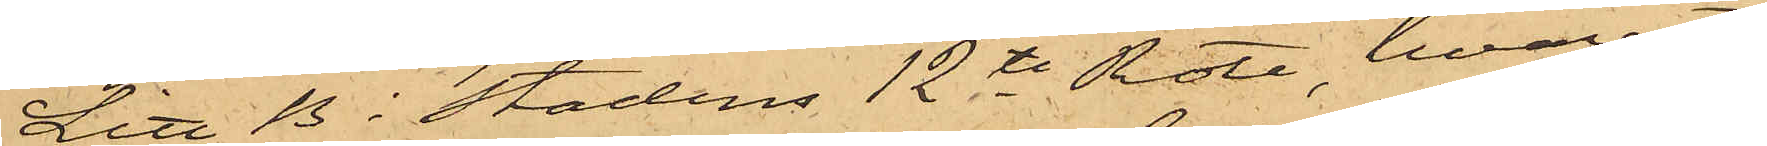Litt. B i Stadens 12te Rote, hvarest
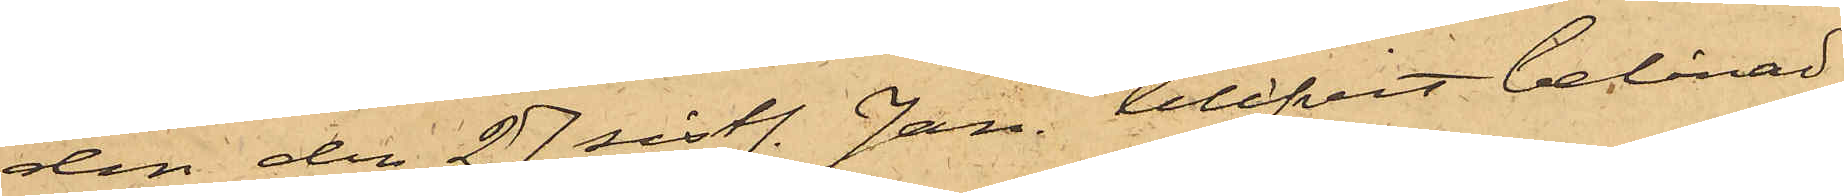den den 27 sistl. Jan. blifvit belånad
